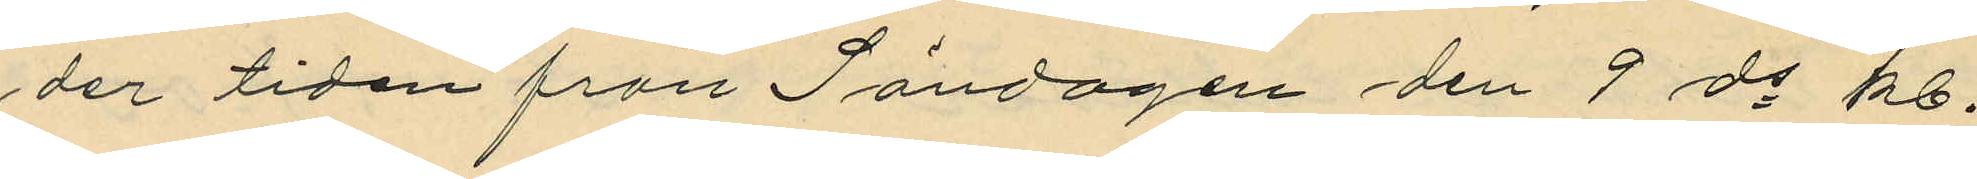der tiden från Söndagen den 9 ds kl.
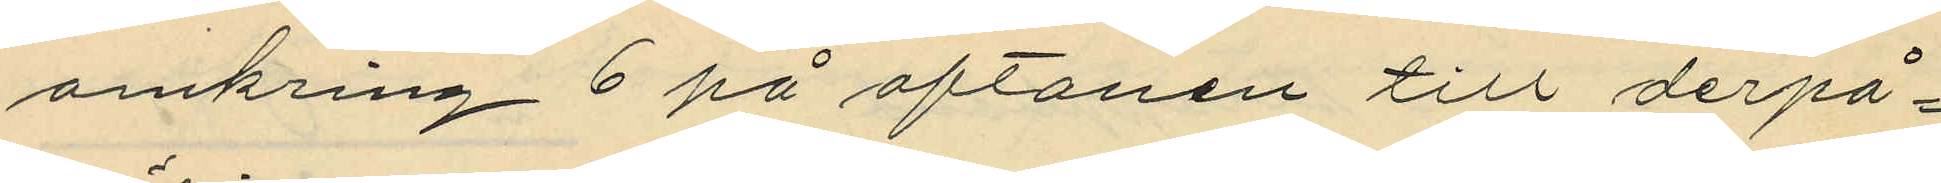omkring 6 på aftonen till derpå¬
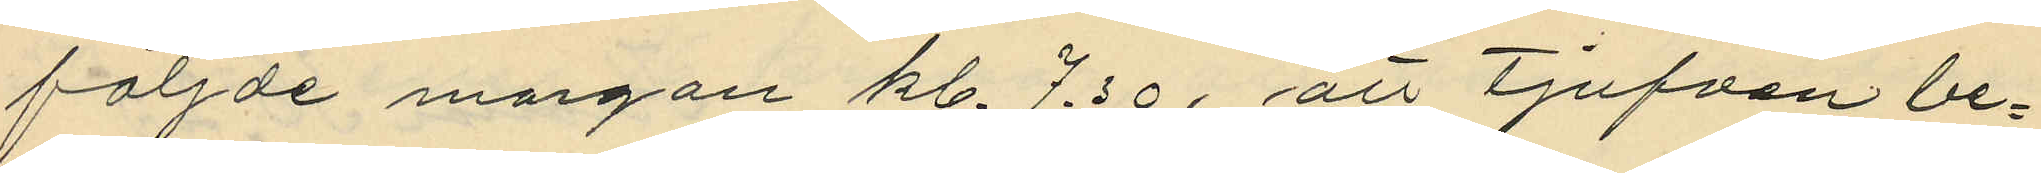följde morgon kl. 7.30, att tjufven be¬
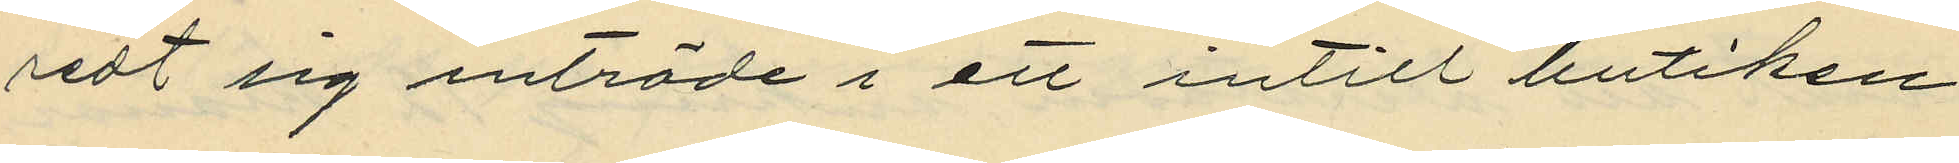redt sig inträde i ett intill butiken
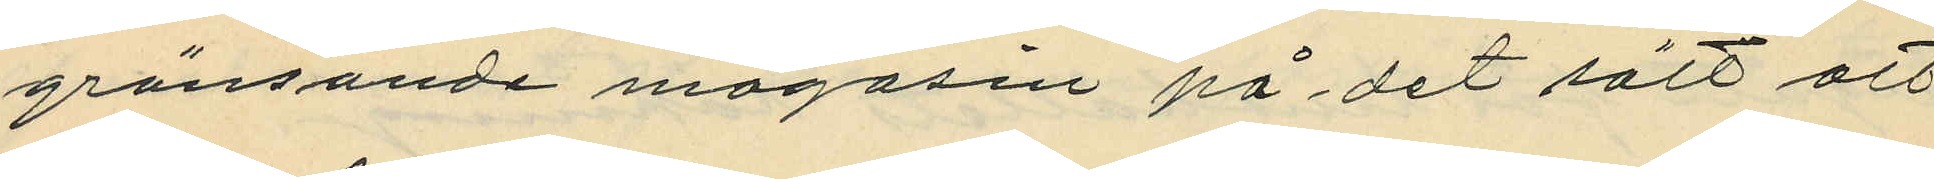gränsande magasin på det sätt att
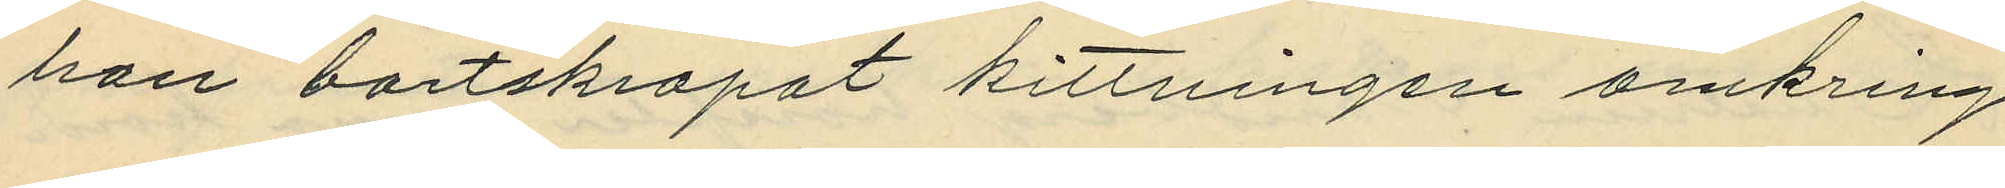han bortskrapat kittningen omkring
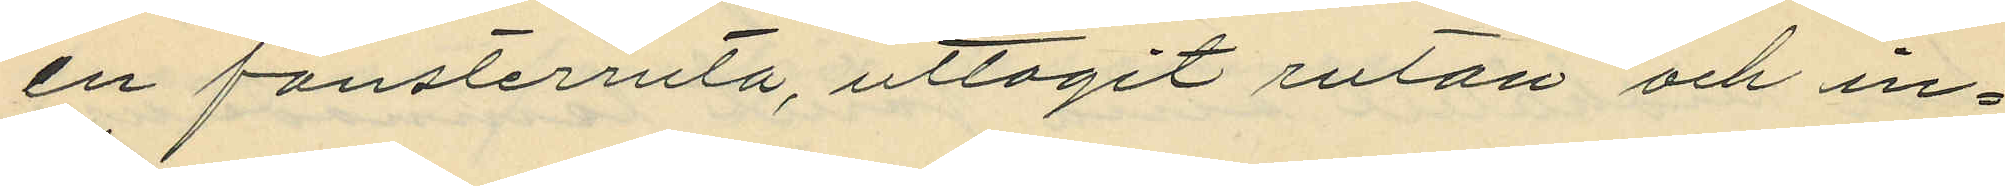en fönsterruta, uttagit rutan och in¬
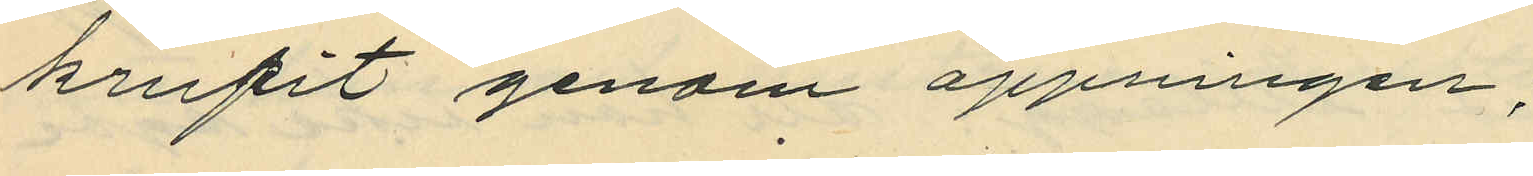krupit genom öppningen;
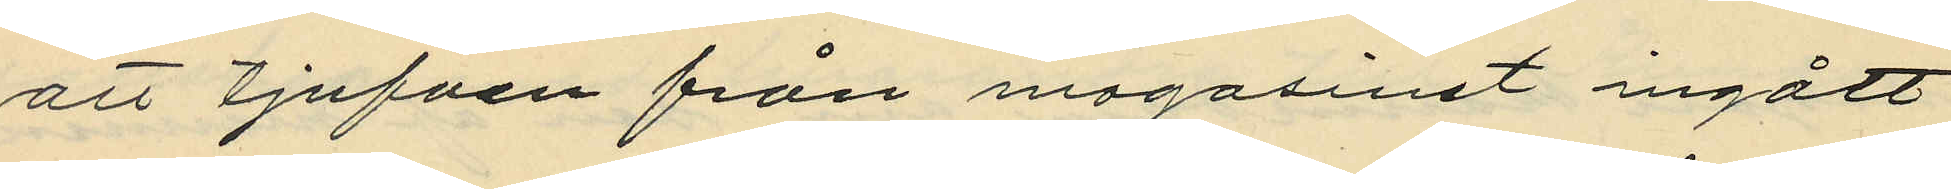att tjuvfen från magasinet ingått
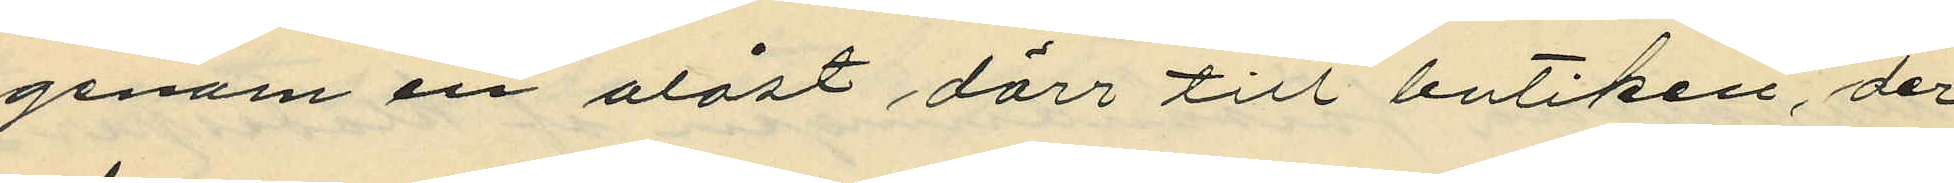genom en olåst dörr till butiken, der
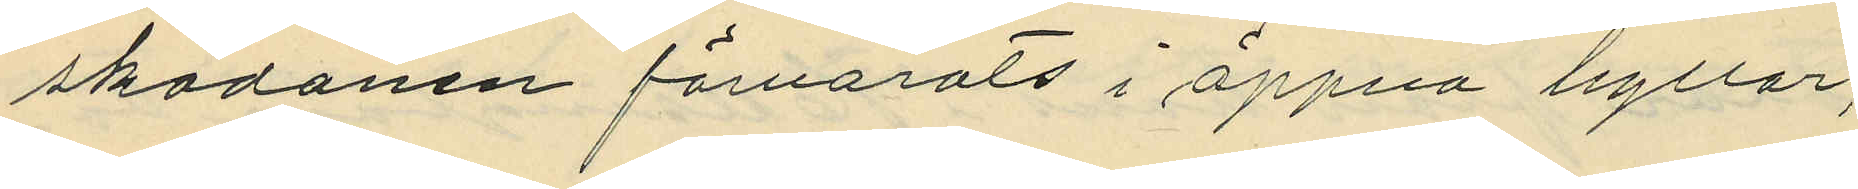skodonen förvarats i öppna hyllor;
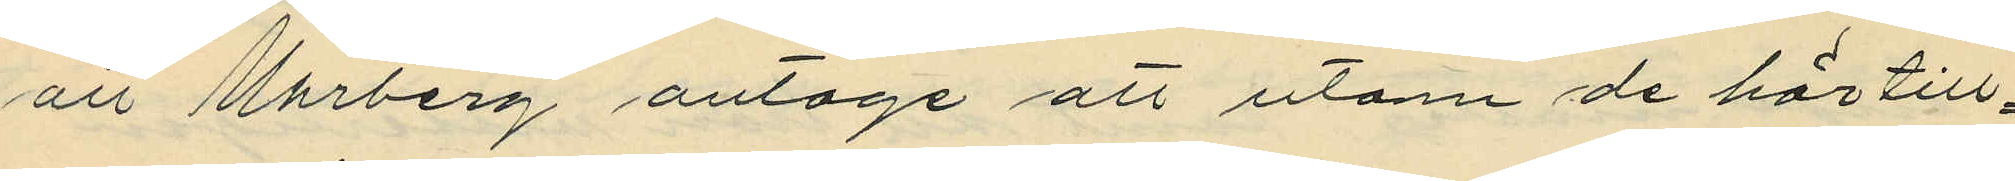att Uhrberg antoge att utom de här till¬
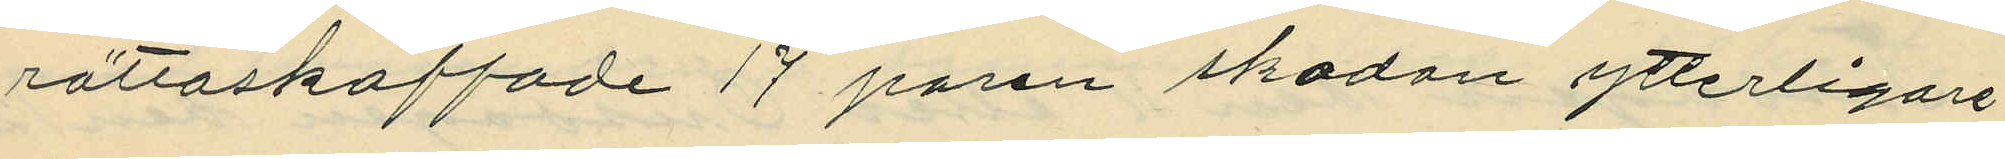rättaskaffade 17 paren skodon ytterligare
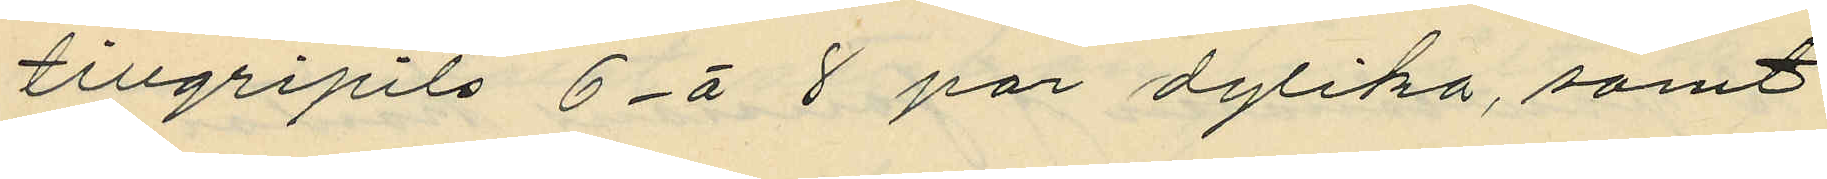tillgripits 6 á 8 par dylika, samt
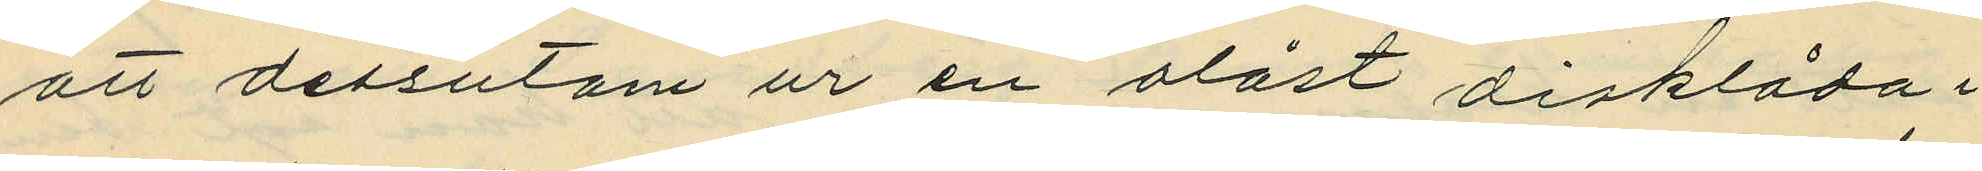att dessutom ur en olåst disklåda i
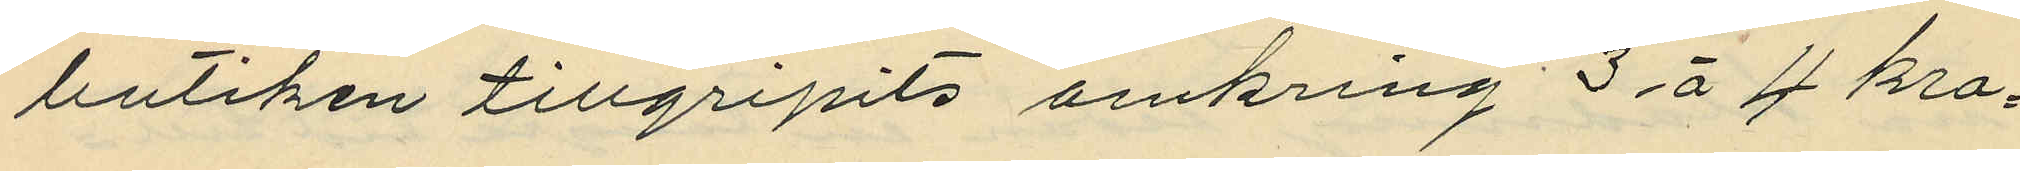butiken tillgripits omkring 3 á 4 kro¬
